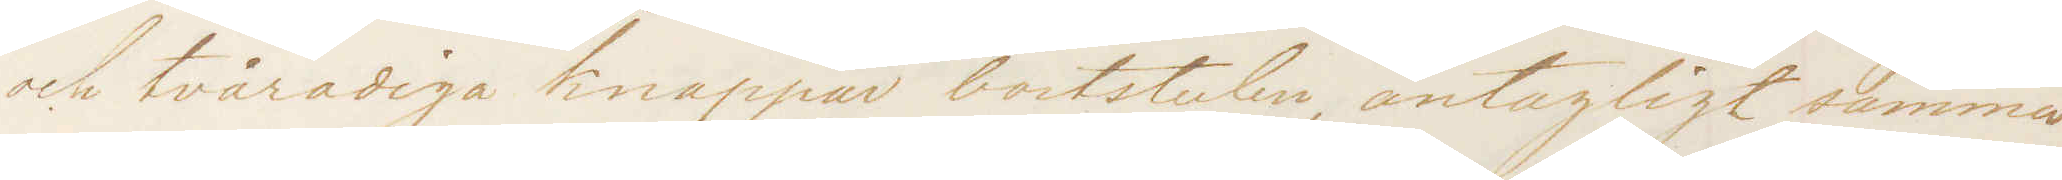och tvåradiga knappar bortstulen antagligt samma
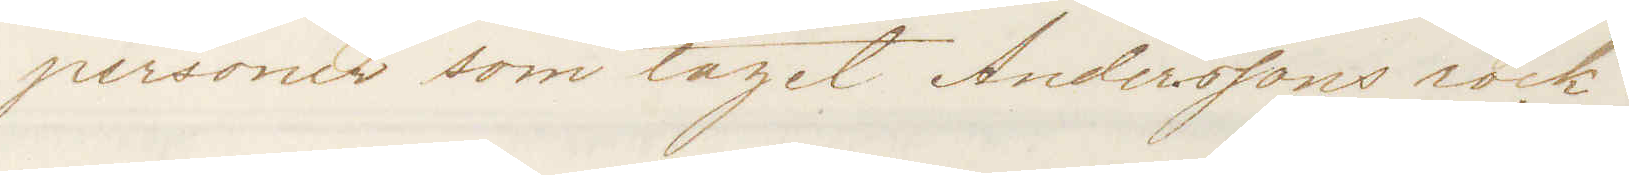personer som taget Anderssons rock.
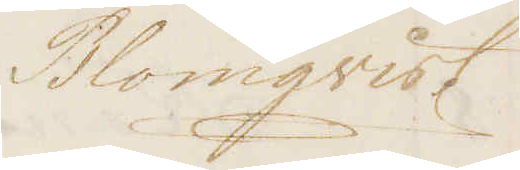Blomqvist
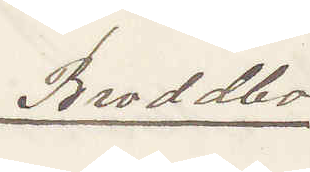Broddbo
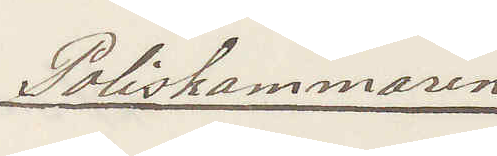Poliskammaren
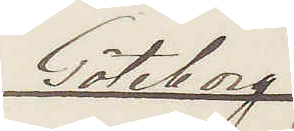Göteborg
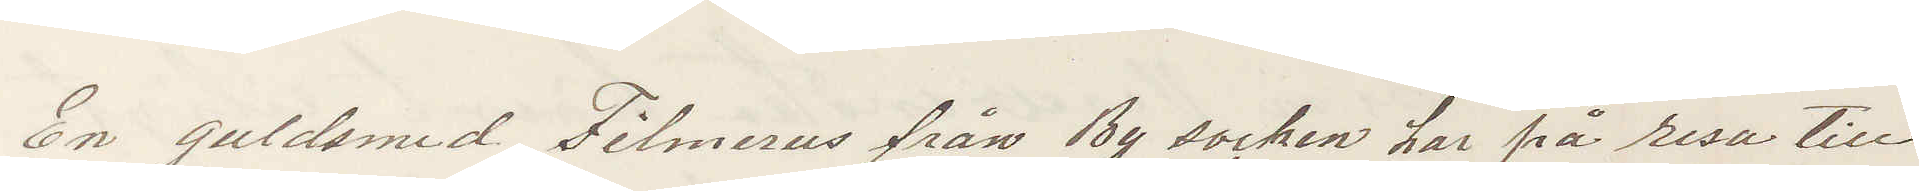En guldsmed Filmerus från By socken har på resa till
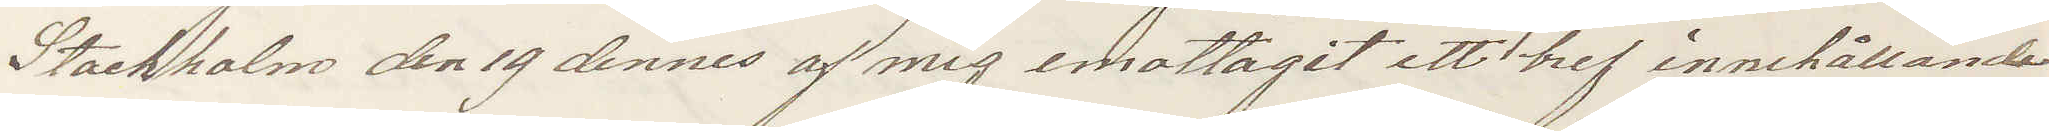Stockholm den 19 dennes af mig emottagit ett bref innehållande
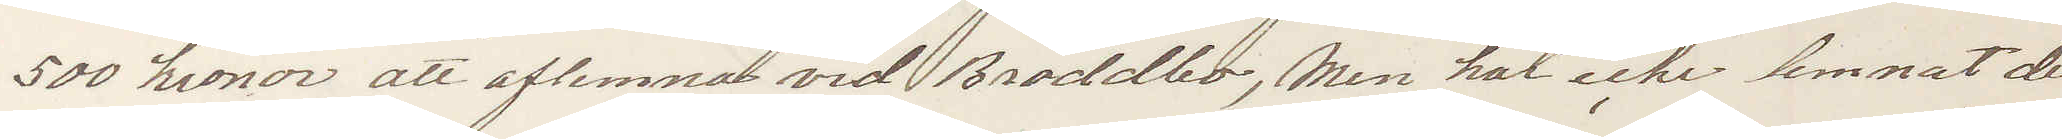500 kronor att aflemnas vid Broddbo, Men har icke lemnat det,
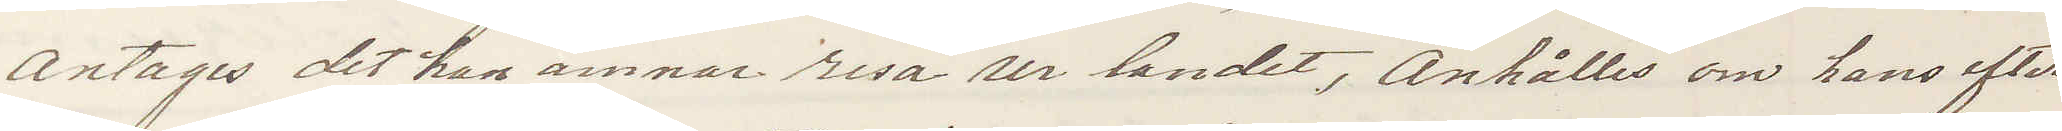Antages det han ämnar resa ur landet, Anhålles om hans efter
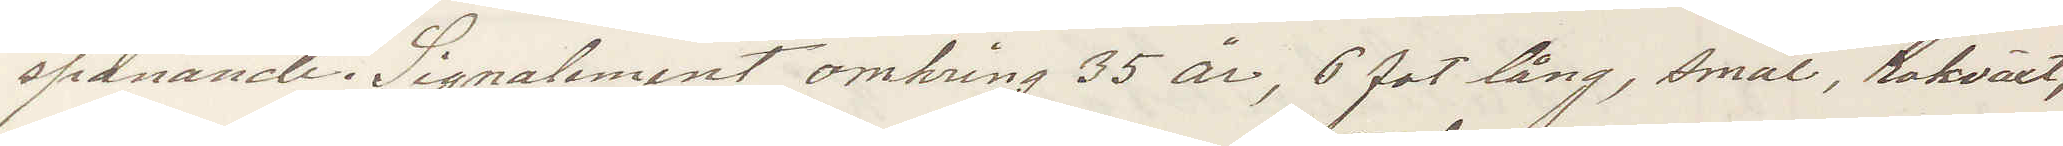spanande. Signalement omkring 35 år, 6 fot lång, smal, rakväxt,
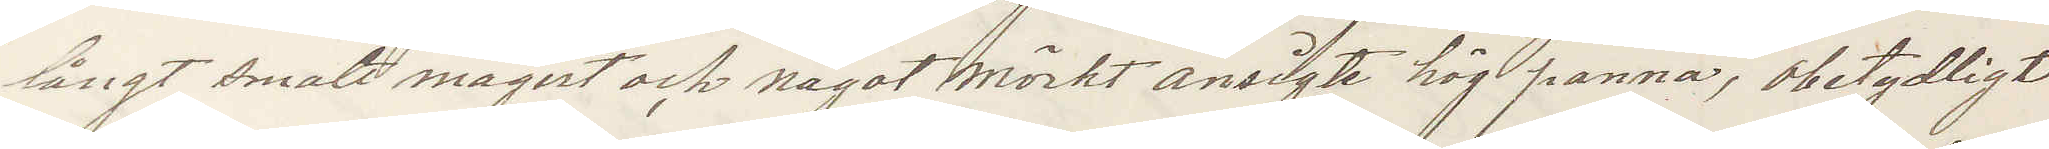långt smalt magert och något mörkt ansigte hög panna, obetydligt
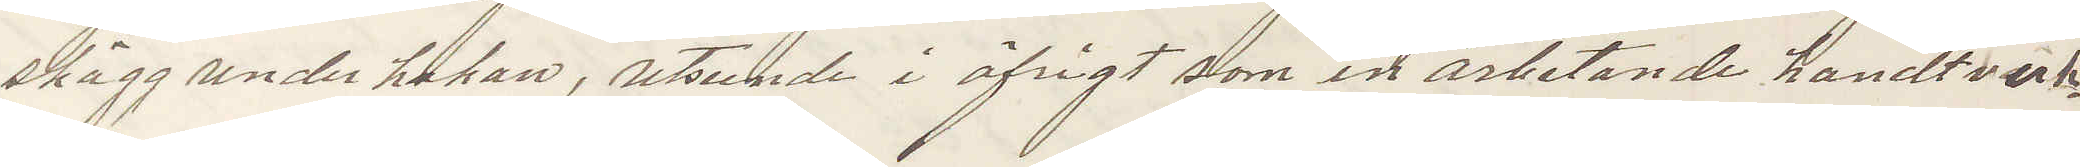skägg under hakan, utseende i öfrigt som en arbetande handtverk¬
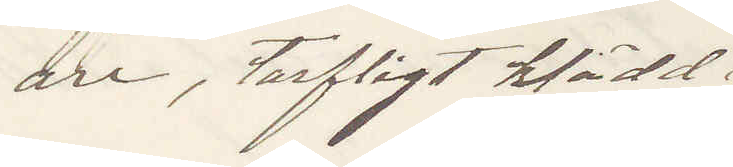are, tarfligt klädd.
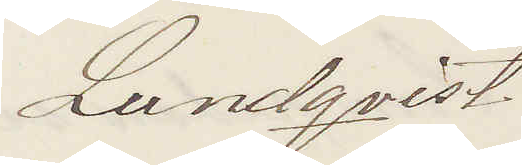Lundqvist
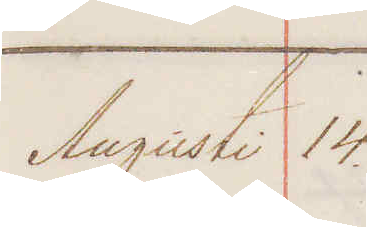Augusti 14 
